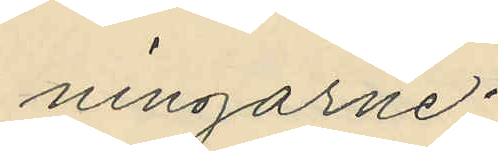ningarne;
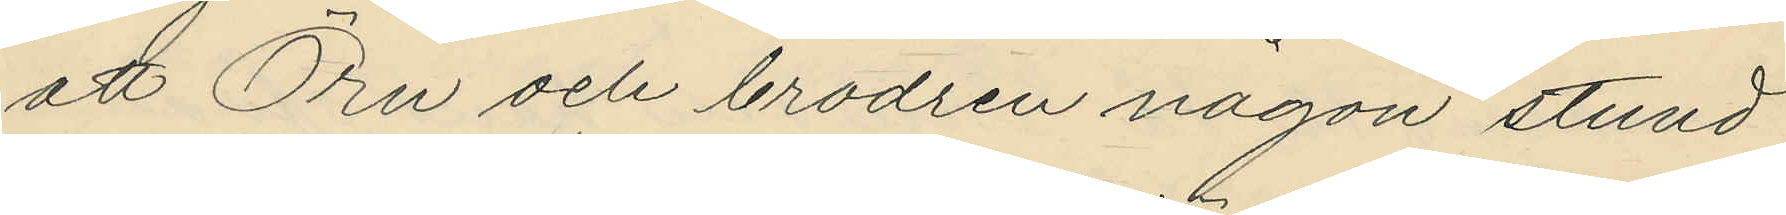att Örn och brodren någon stund
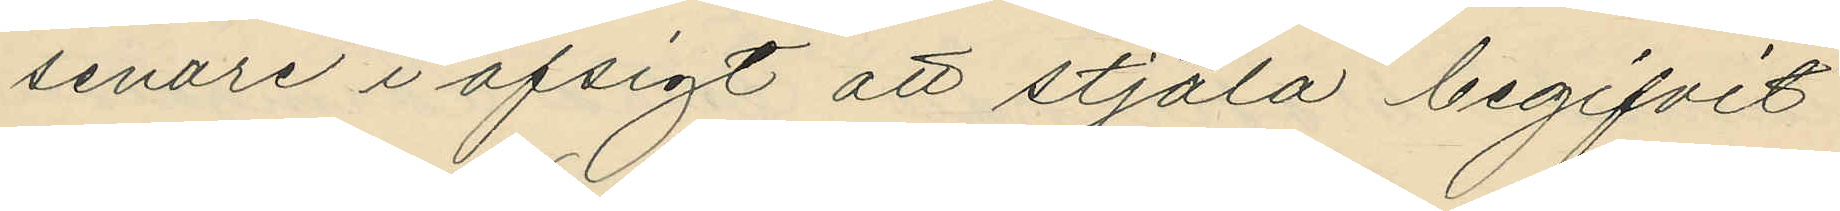senare i afsigt att stjäla begifvit
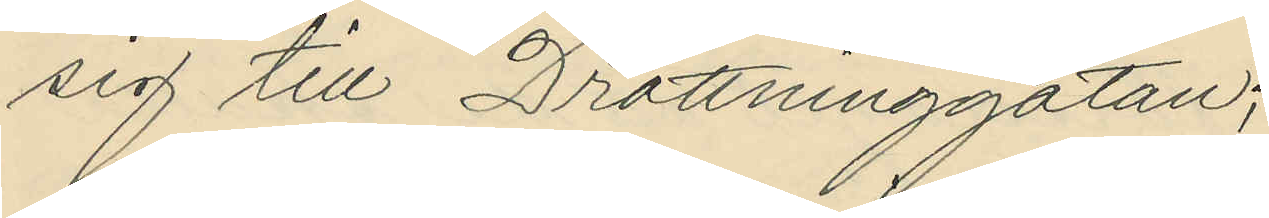sig till Drottninggatan;
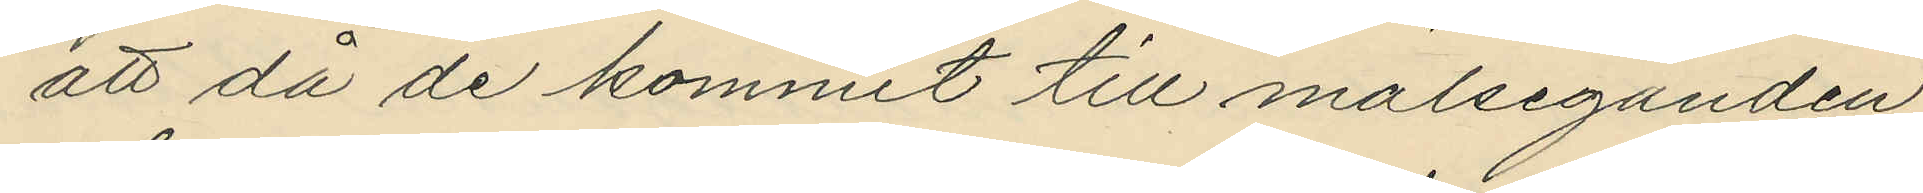att då de kommit till målseganden
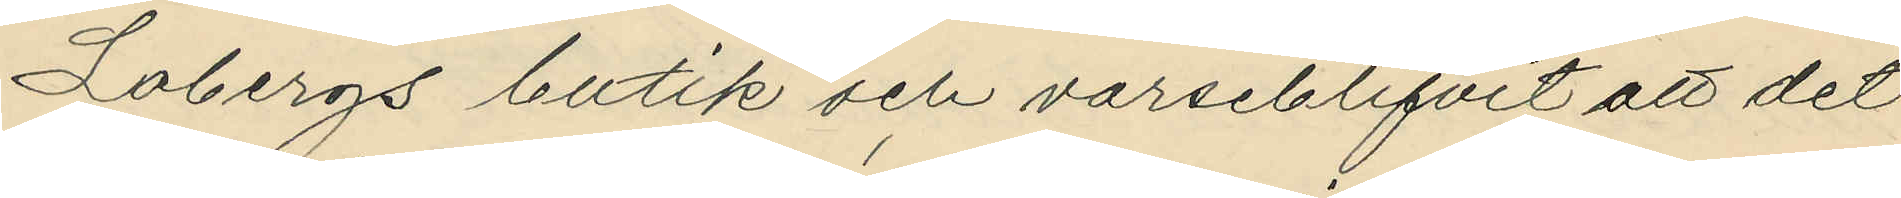Lobergs butik och varseblifvit att det
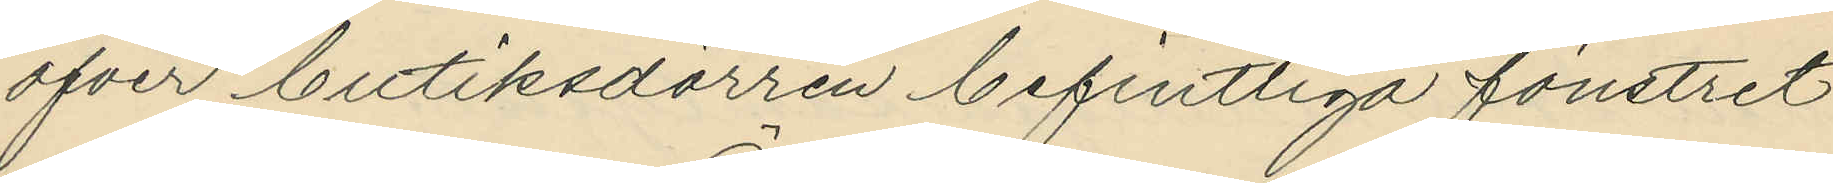öfver butiksdörren befintliga fönstret
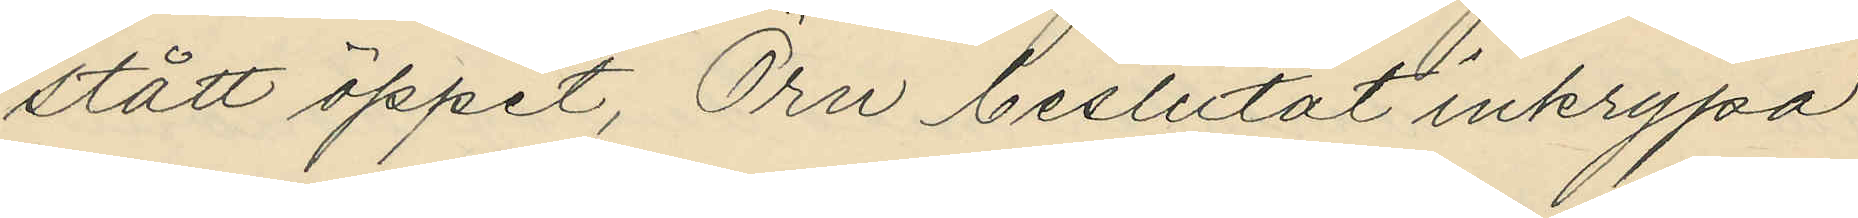stått öppet, Örn beslutat inkrypa
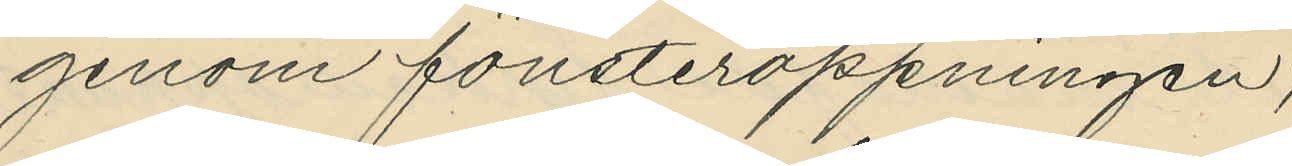genom fönsteröppningen;
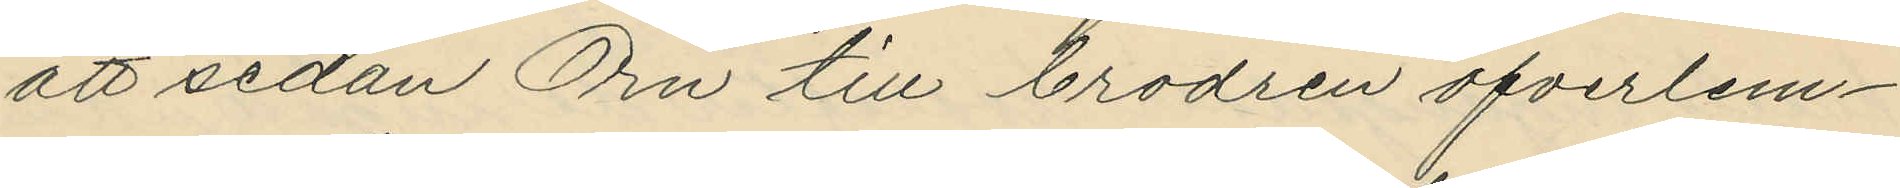att sedan Örn till brodren öfverlem¬
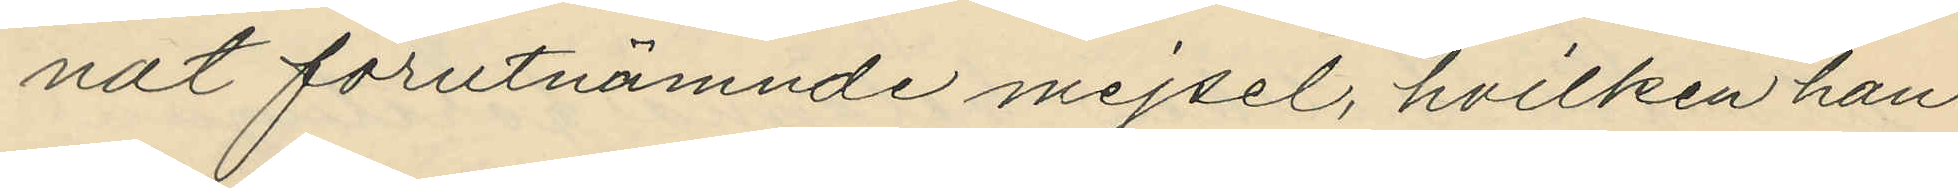nat förutnämnde mejsel, hvilken han
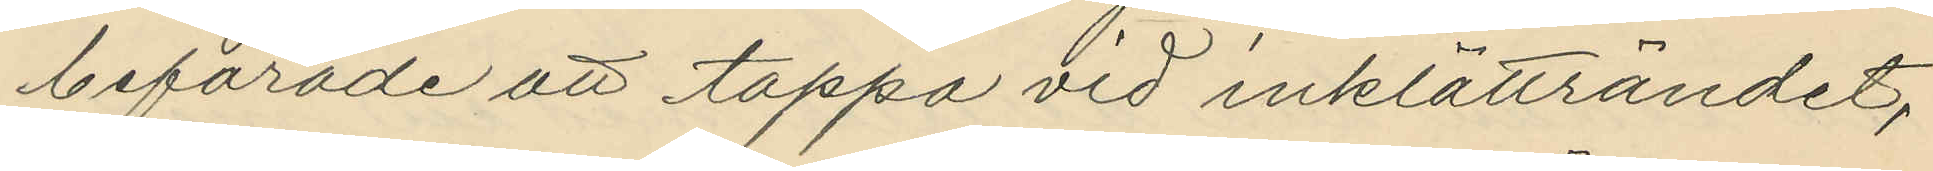befarade att tappa vid inklätträndet,
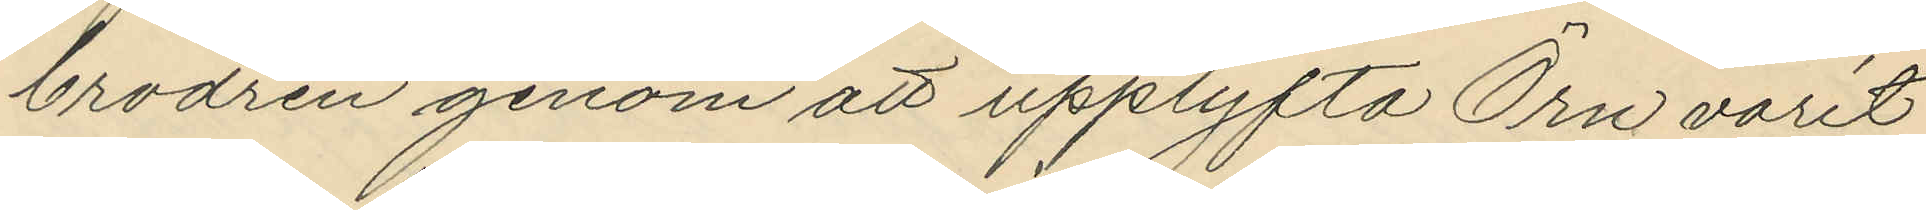brodren genom att upplyfta Örn varit
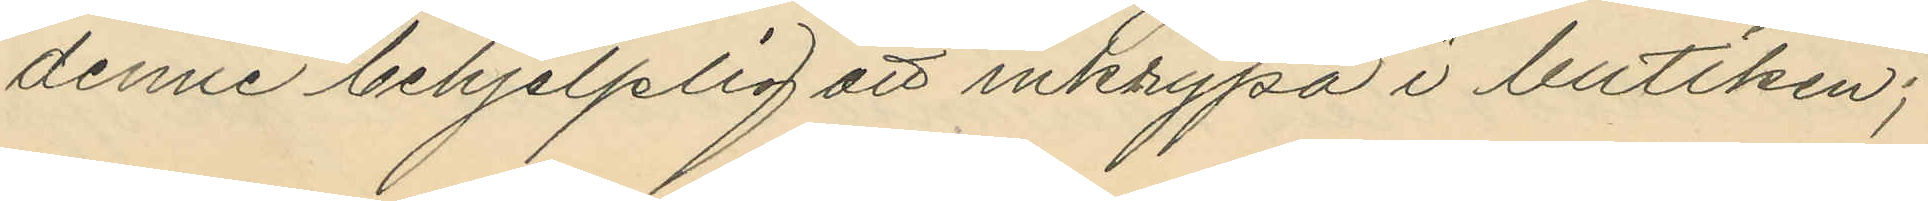denne behjelplig att inkrypa i butiken;
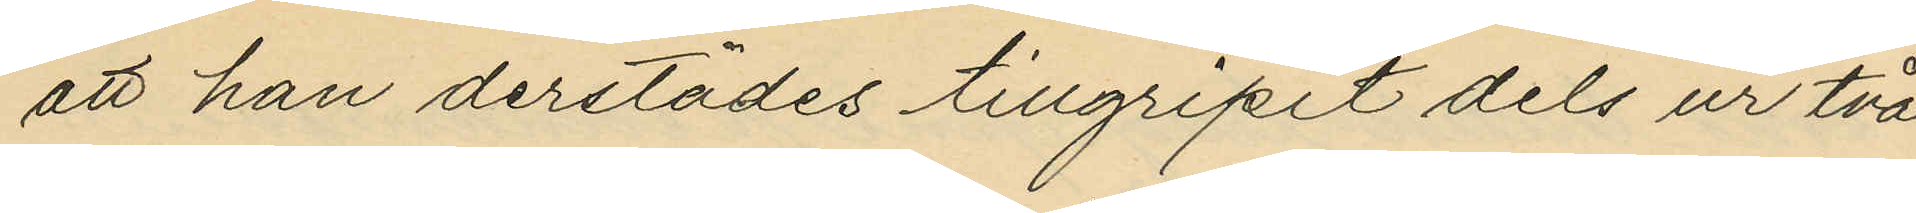att han derstädes tillgripit dels ur två
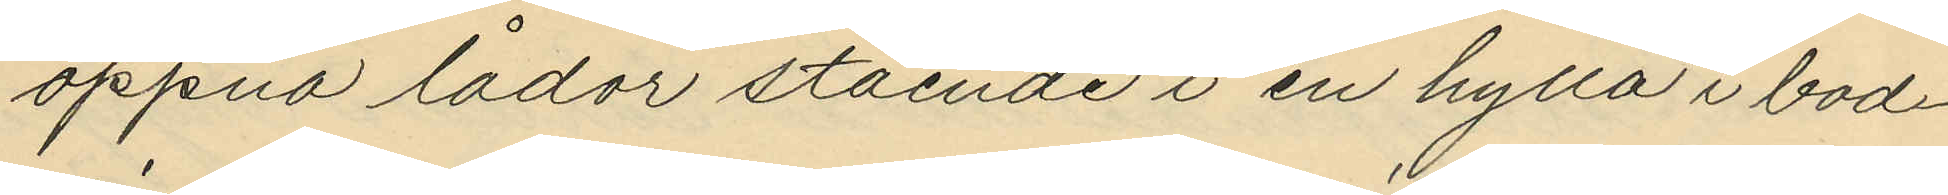öppna lådor stående i en hylla i bod¬
